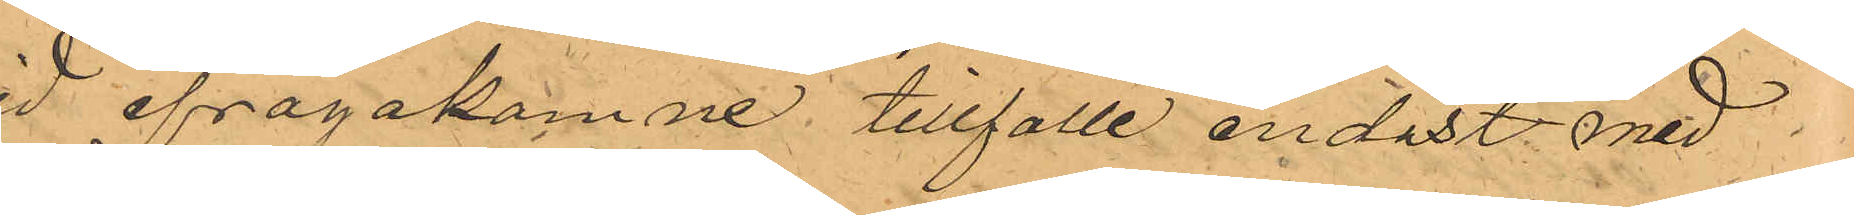vid ifrågakomne tillfälle endast med
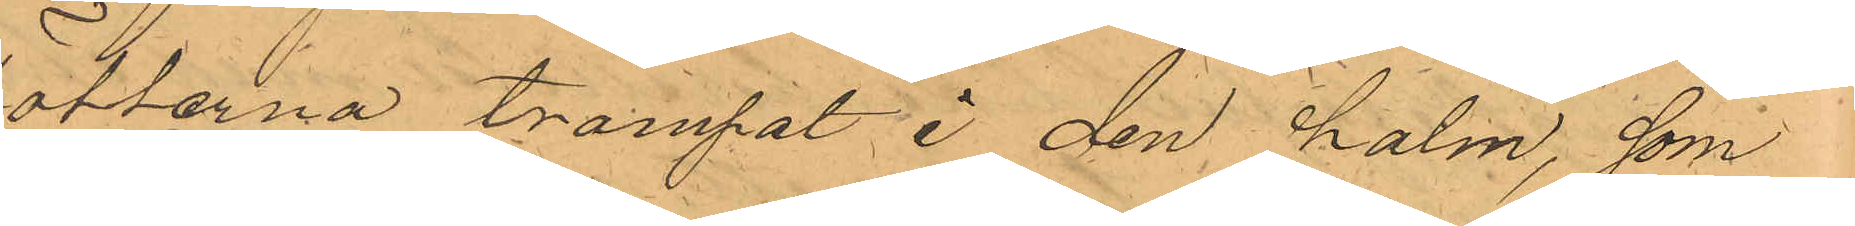fötterna trampat å den halm, som
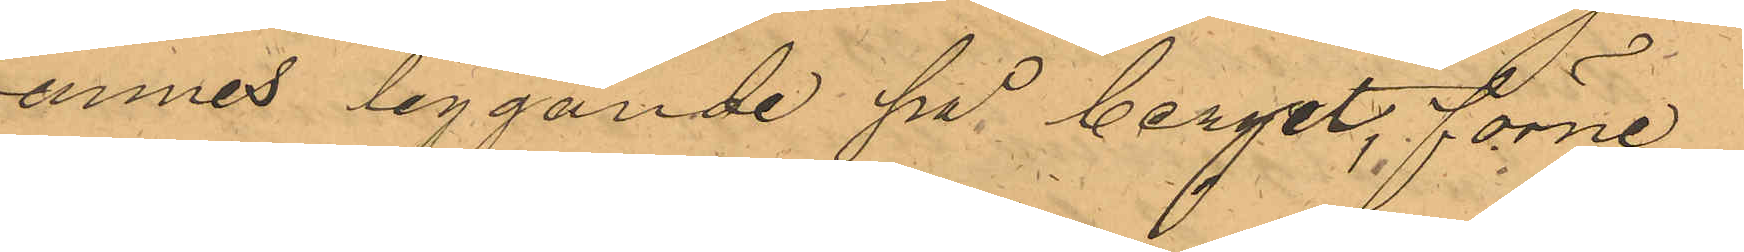funnes liggande på berget, förne¬
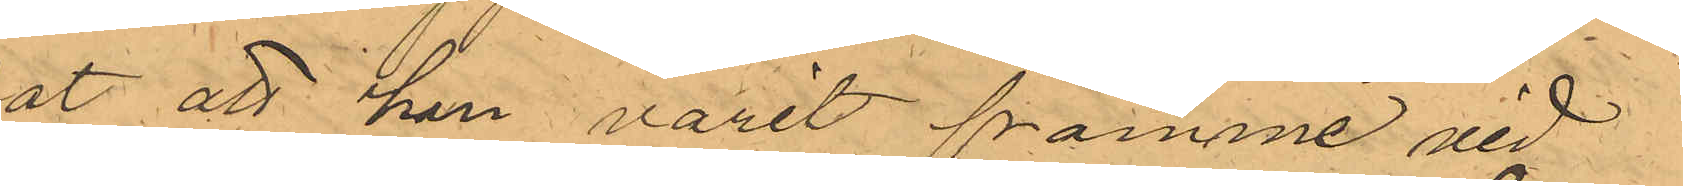kat att han varit framme vid
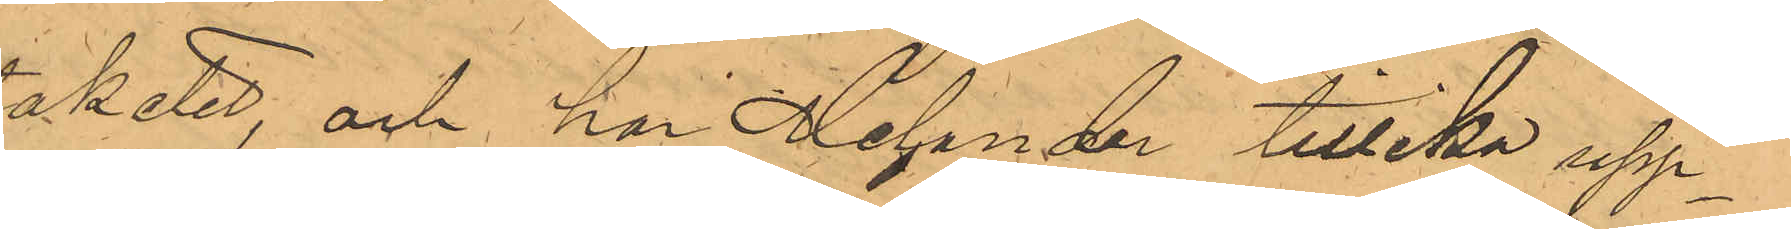Staketet, och har Melander tillika upp¬
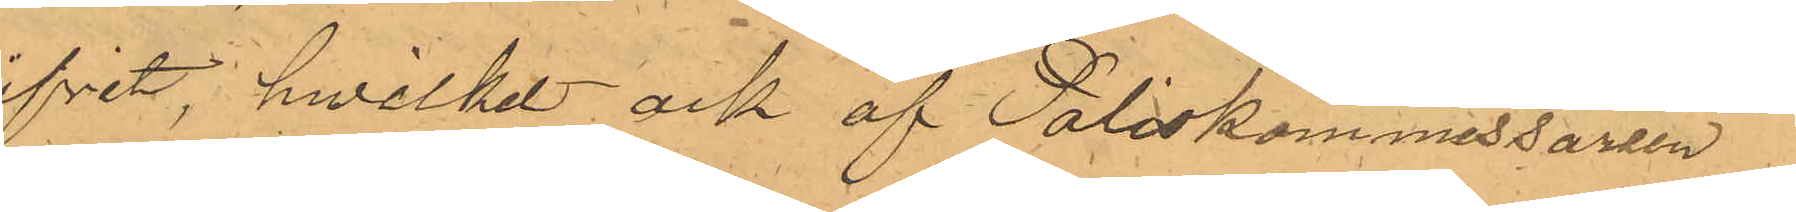gifvet, hwilket ock af Poliskommissarien
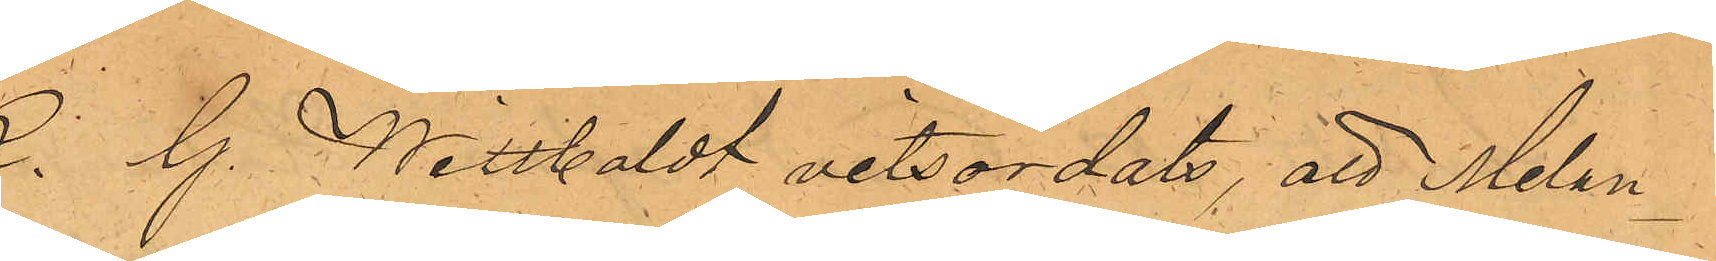K. G. Wittboldt vitsordats, att Melan¬
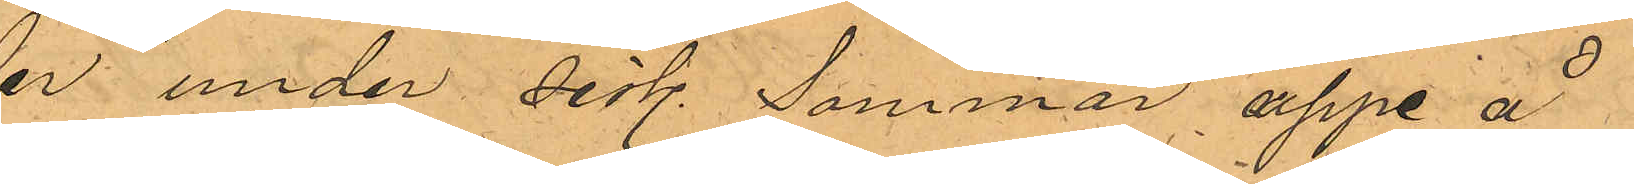der under sist. Sommar, uppe å
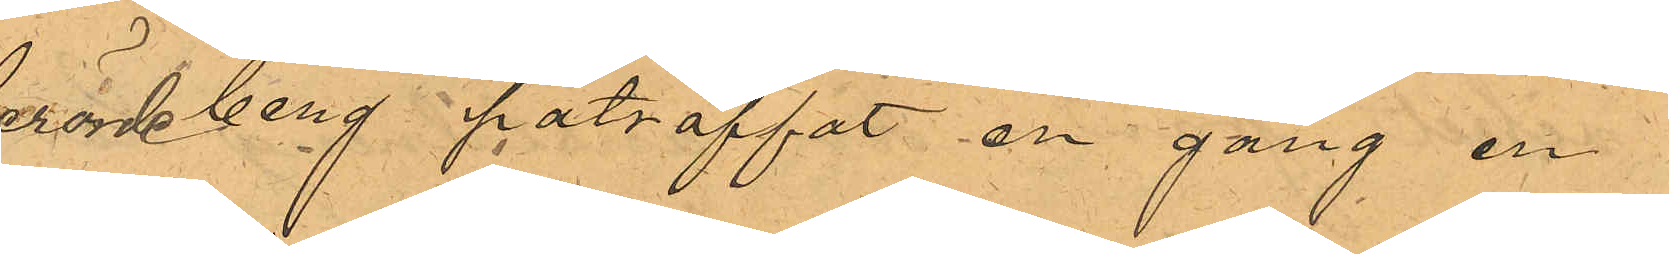berörde berg påträffat en gång en
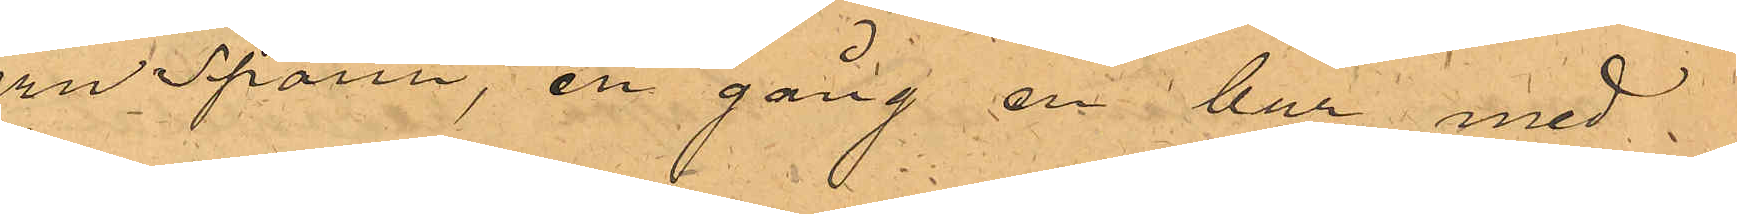jern Spann, en gång en bur med
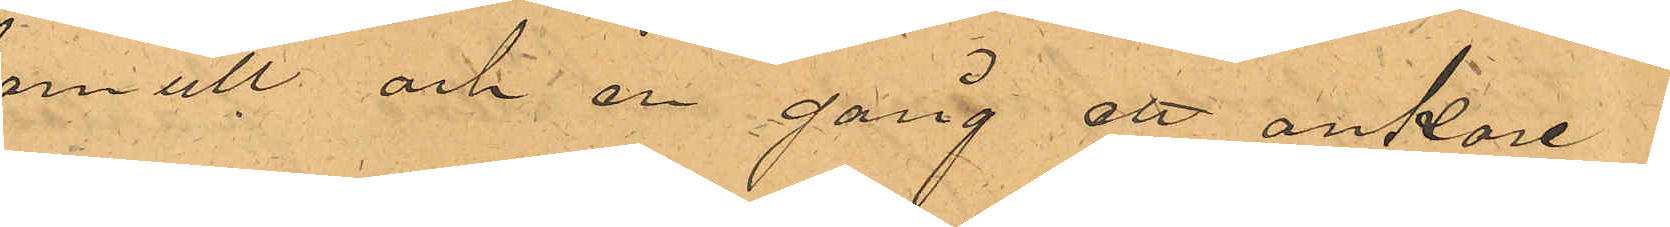bomull och en gång ett ankare
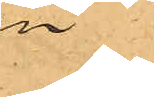vin
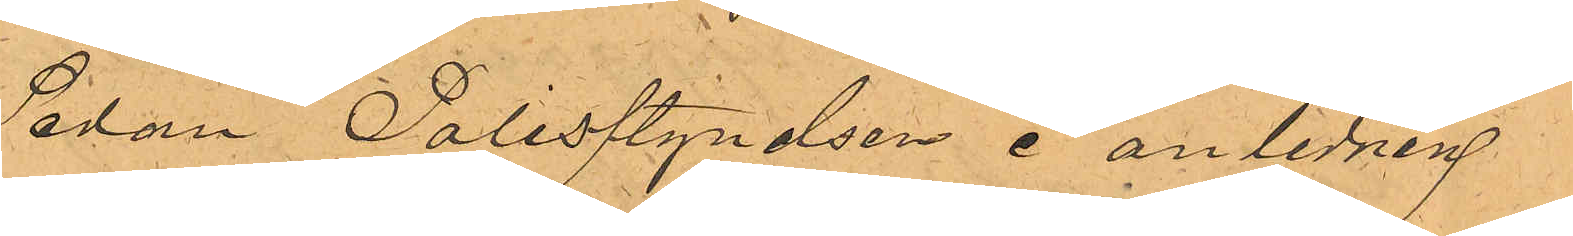Sedan Polisstyrelsen i anledning
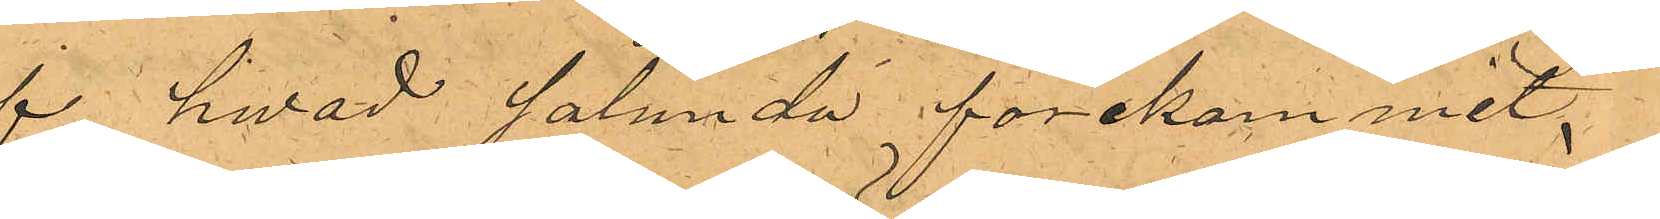af hvad sålunda förekommit,
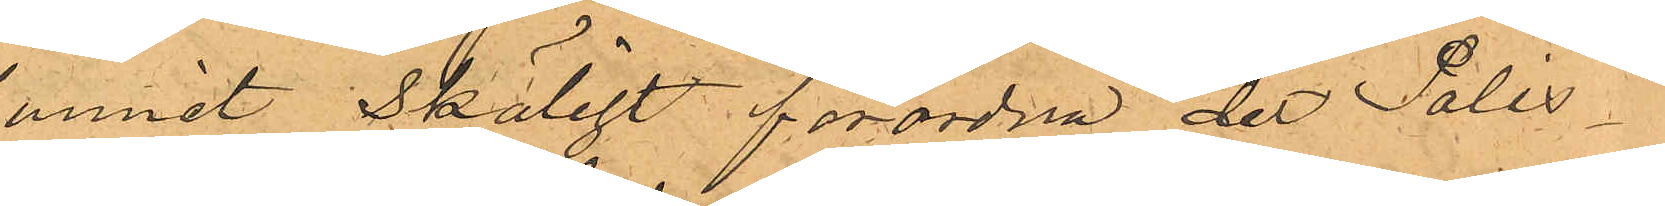funnit Skäligt förordna det Polis¬
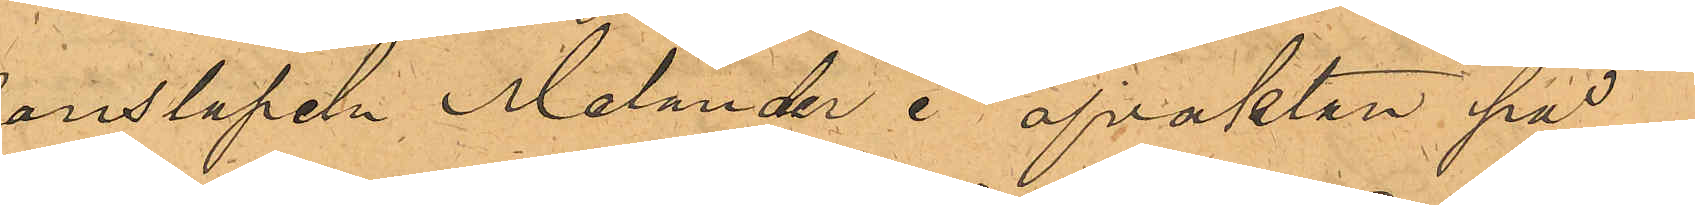konstapeln Melander i afvaktan på
